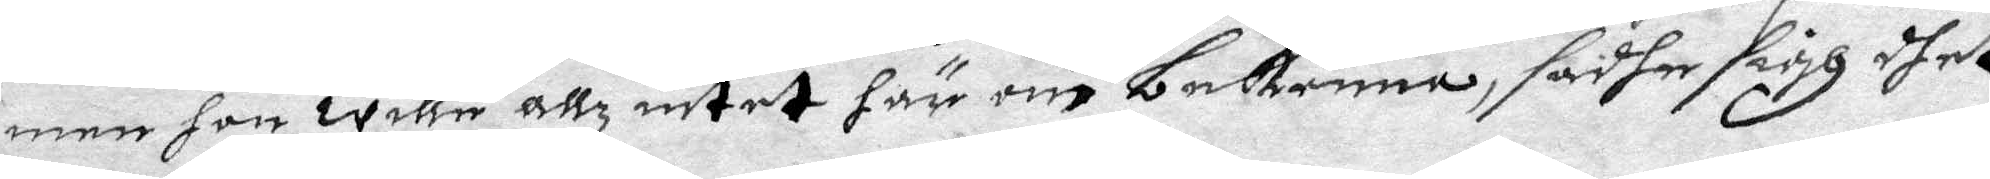men hon wille allz intet här om bekenna, sadhe sigh dhet
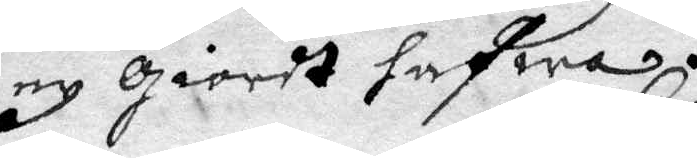ey giordt hafwa.
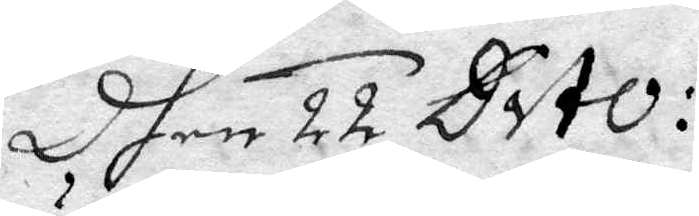Dhen 22 Dito.
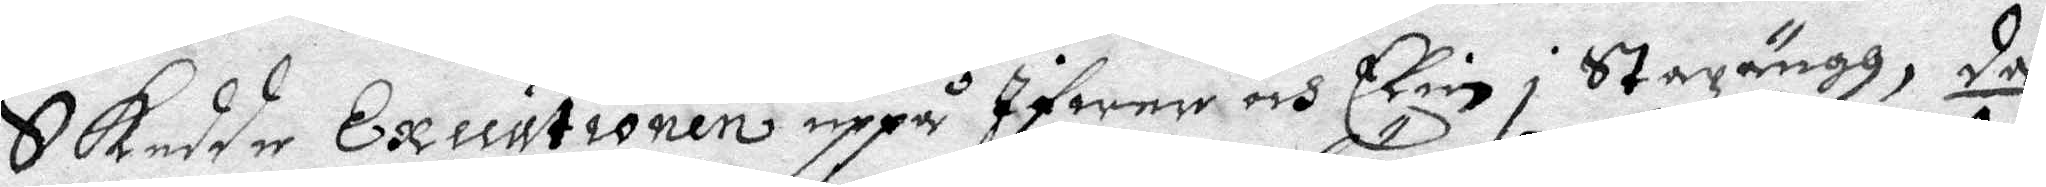Skedde Executionen uppå Ifwer och Elin i Stazängh, då
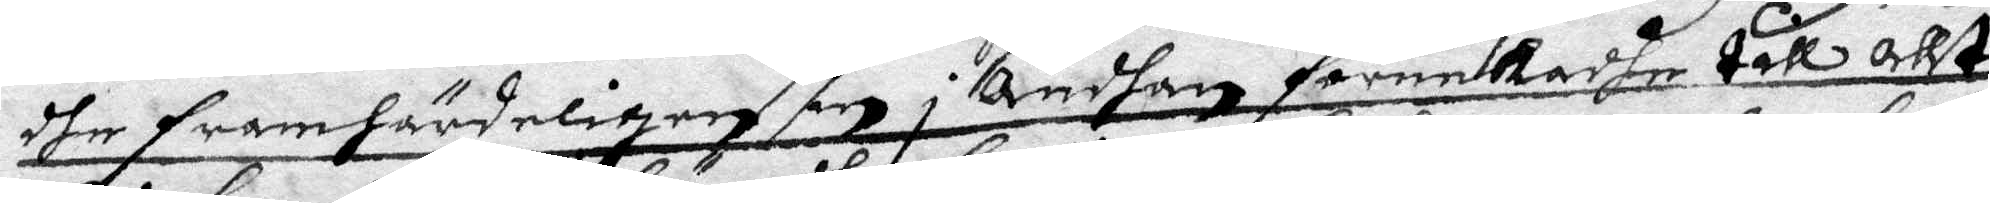dhe framhärdeligen in i ändhan fönekadhe till allt
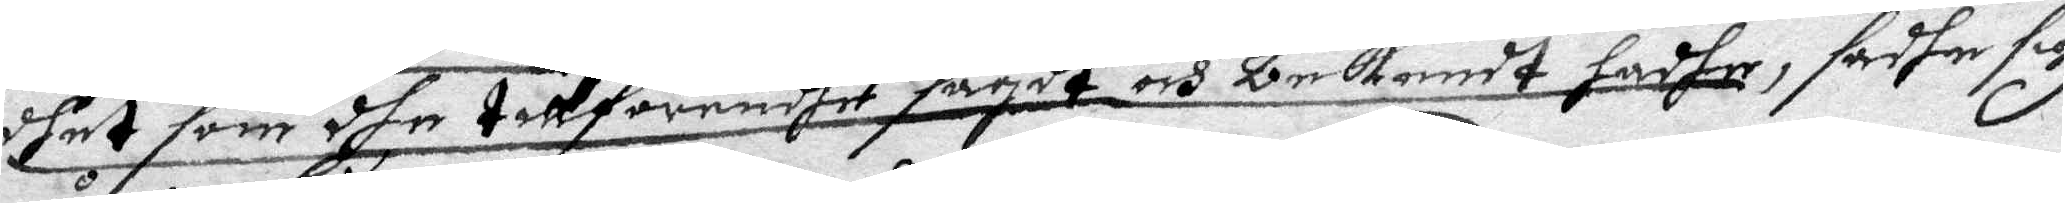dhet som dhe tillförendhe sagdt och bekendt hadhe, sadhe sig
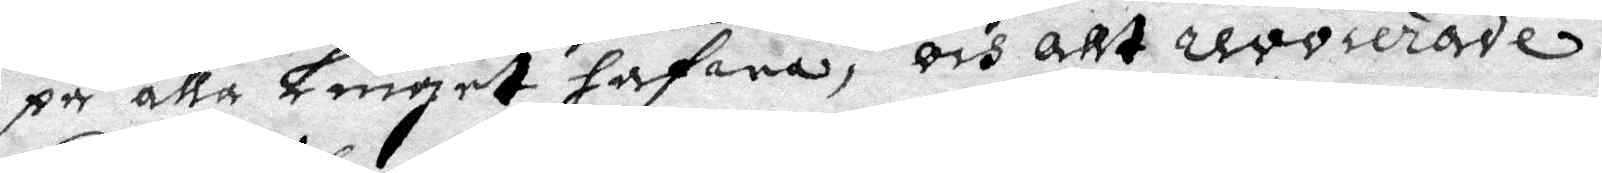på alla Liuget hafwa, och allt revocerade.
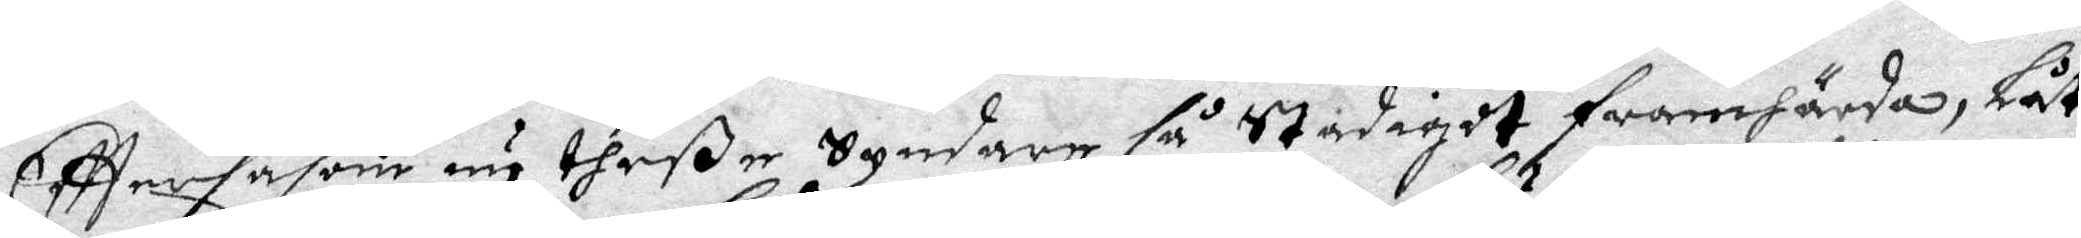Efftersåsom nu theße Syndare så stadigdt framhärda, Låt
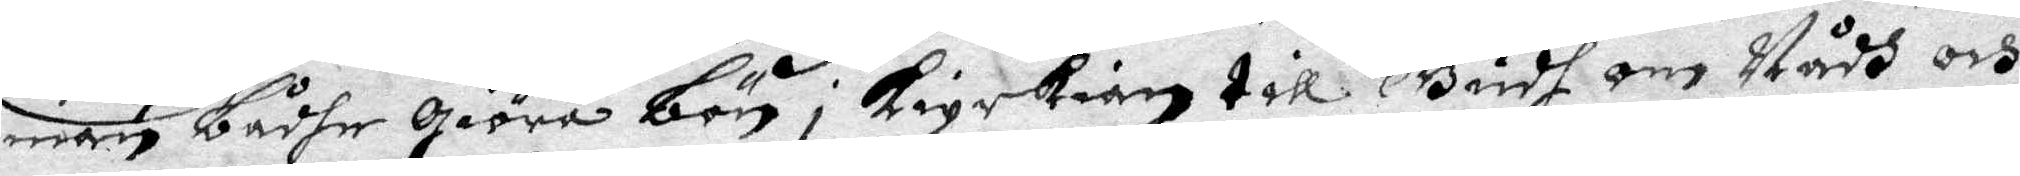man bådhe giöra bön i kiyrkian till Gudh om Nådh och
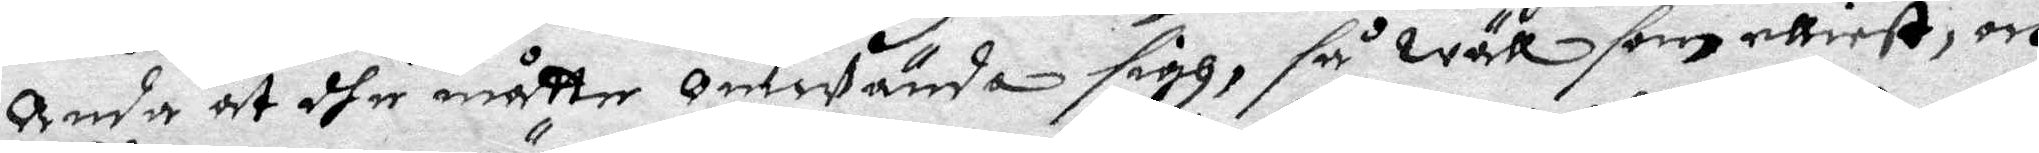anda at dhe måtte omwända sigh, så wäll som elliest, och
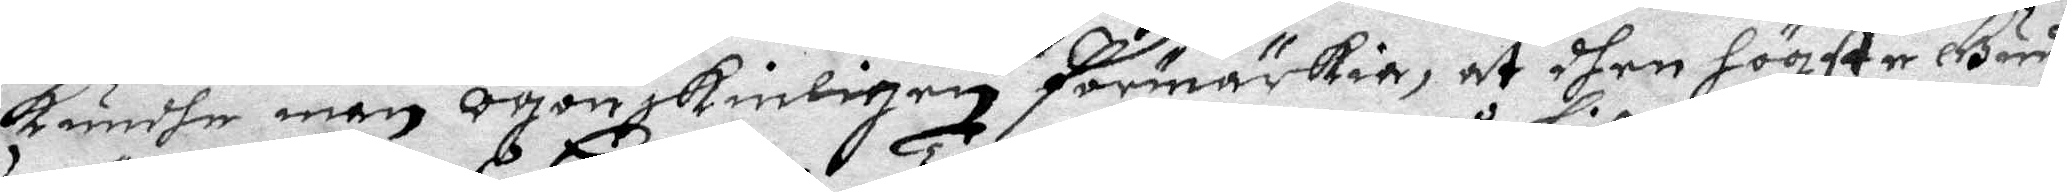Kundhe man ögonskinligen förmärkia, at dhen hööste Gudh
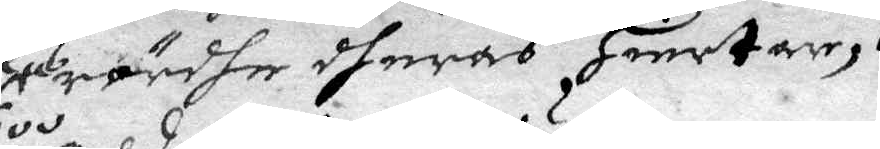rördhe dheras Hiertar, 
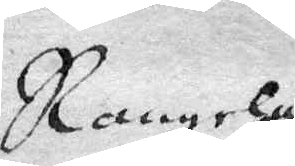Rangelas
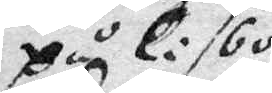på Lisboo
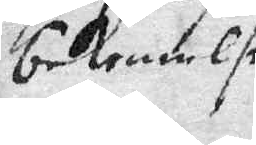bekenelse
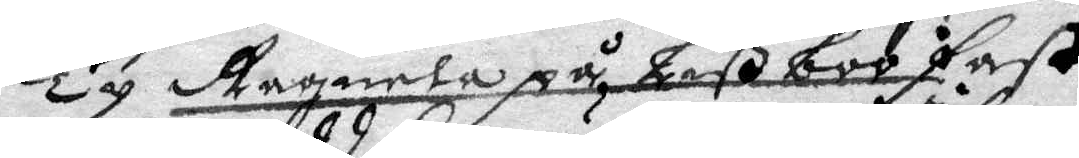Ty Ragnela på Lißboo fast
